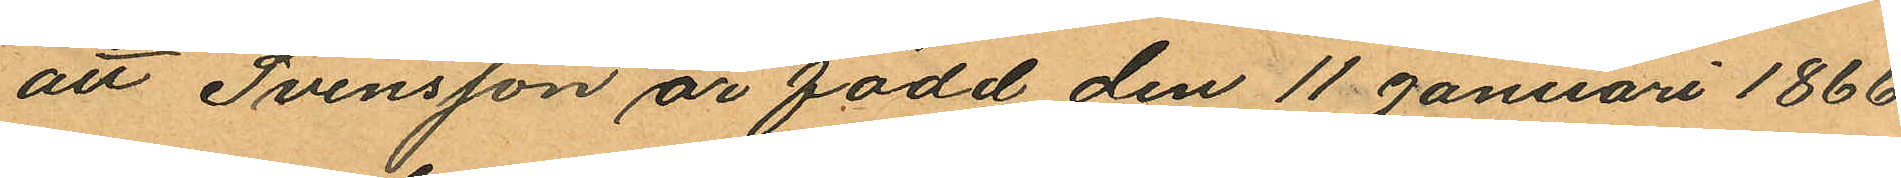att Svensson är född den 11 januari 1866.
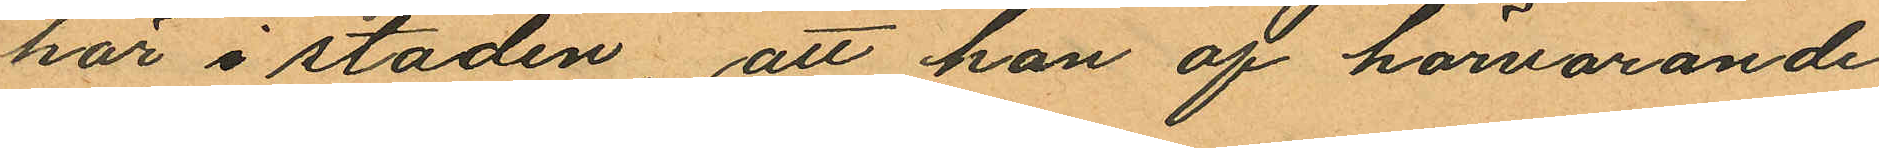här i staden att han af härvarande
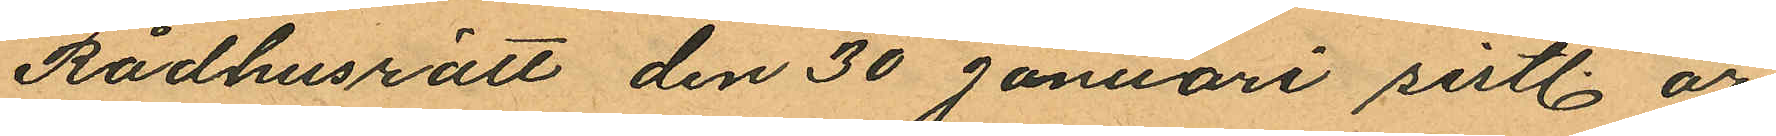Rådhusrätt den 30 januari sistl. år
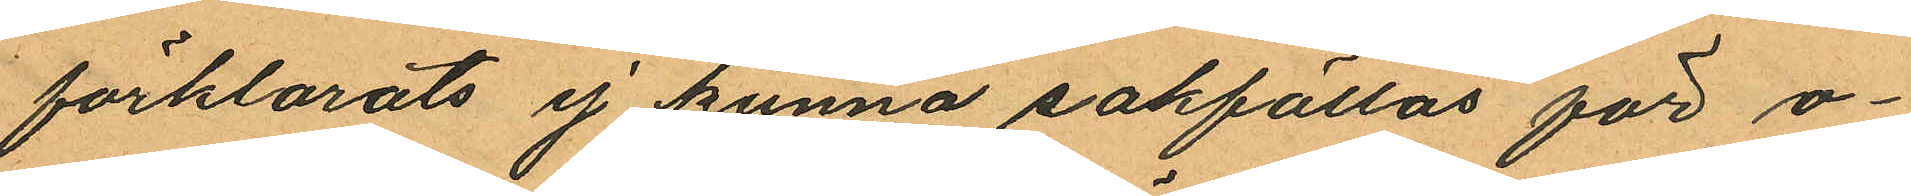förklarats ej kunna sakfällas för o¬
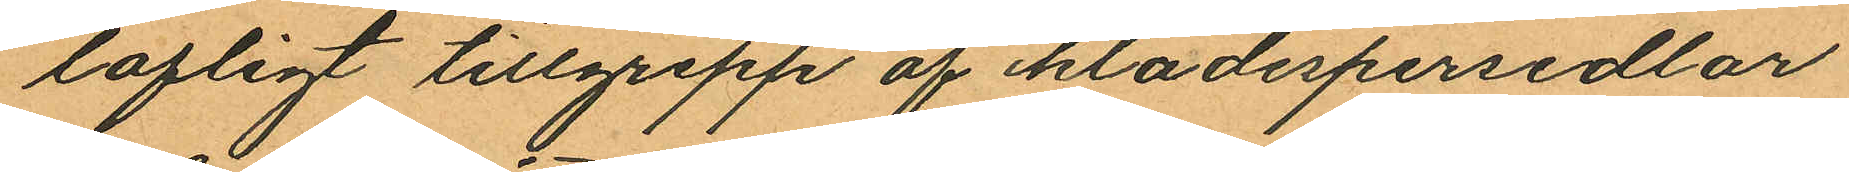lofligt tillgrepp af klädespersedlar
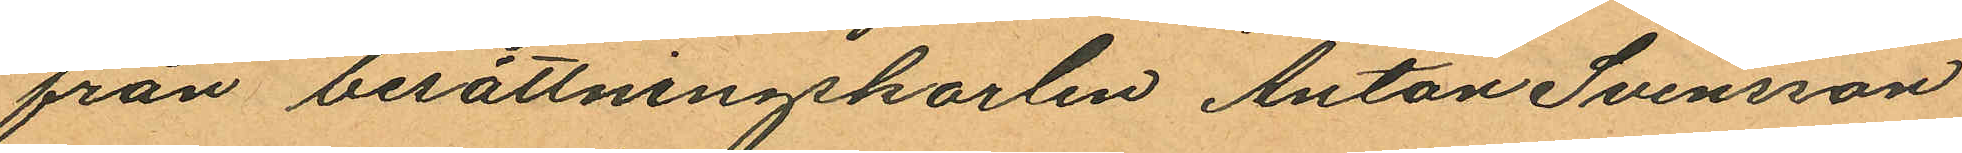från besättningskarlen Anton Svensson
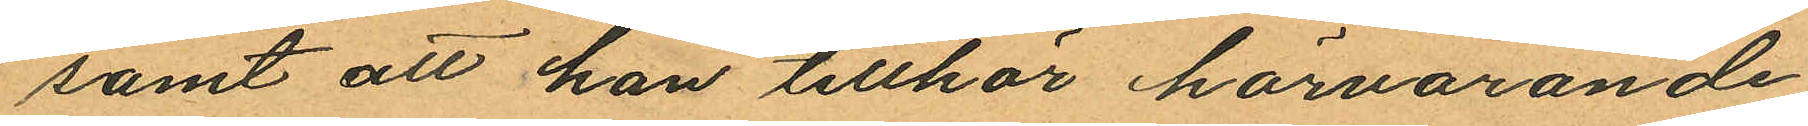samt att han tillhör härvarande
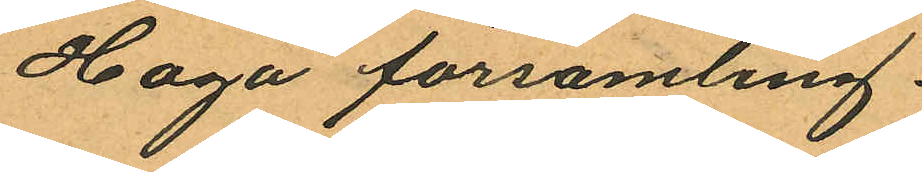Haga församling.
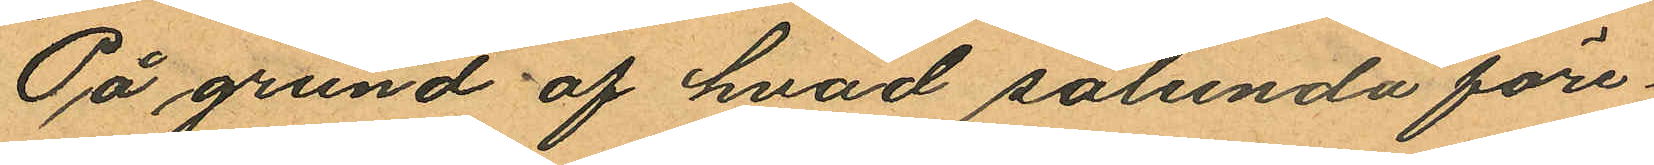På grund af hvad sålunda före¬
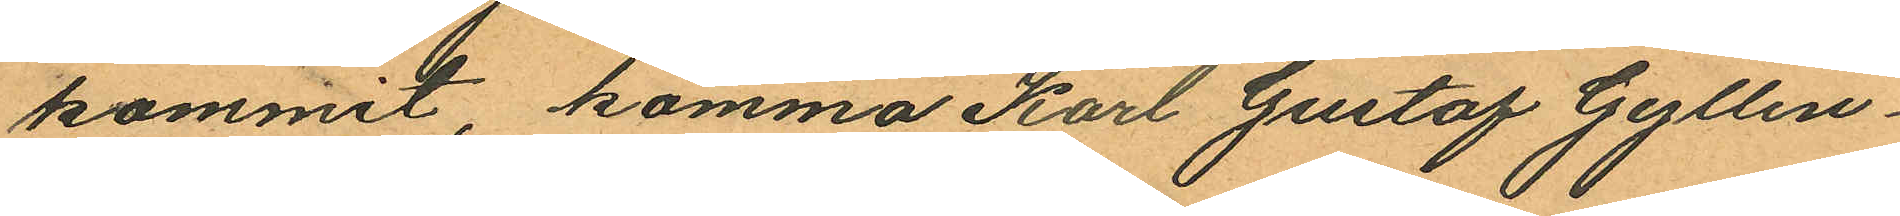kommit komma Karl Gustaf Gyllen¬
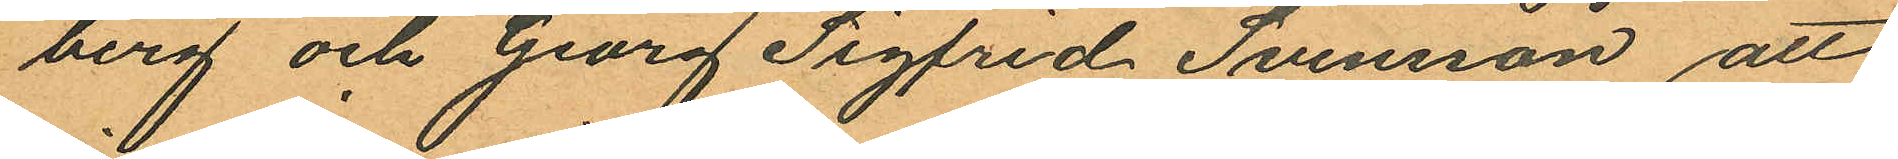berg och Georg Sigfrid Svensson att
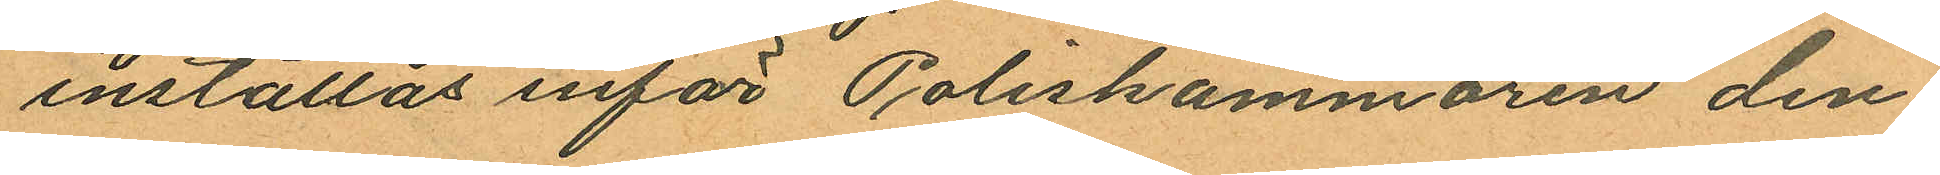inställas inför Poliskammaren den¬
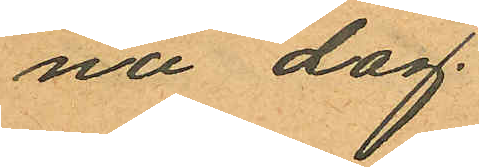na dag.
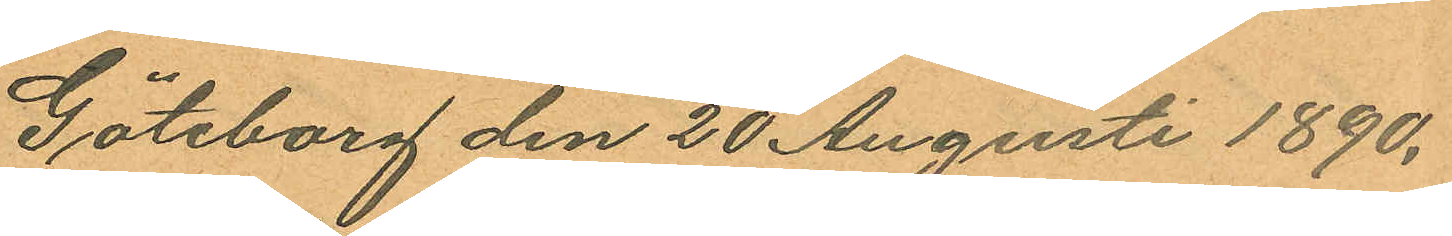Göteborg den 20 Augusti 1890.
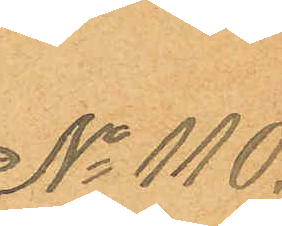No 110.
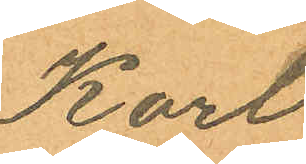Karl
